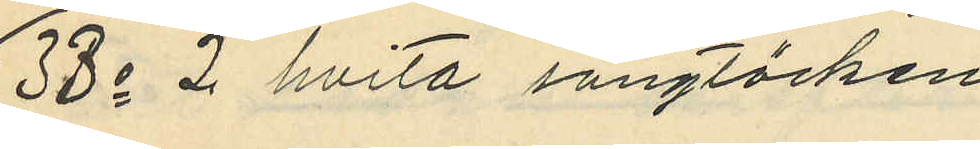33o 2 hvita sängtäcken
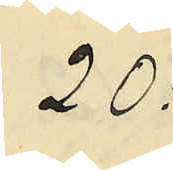20:
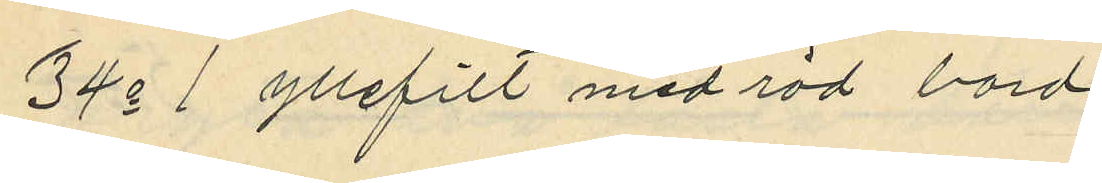34o 1 yllefilt med röd bord
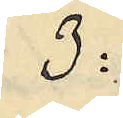3:
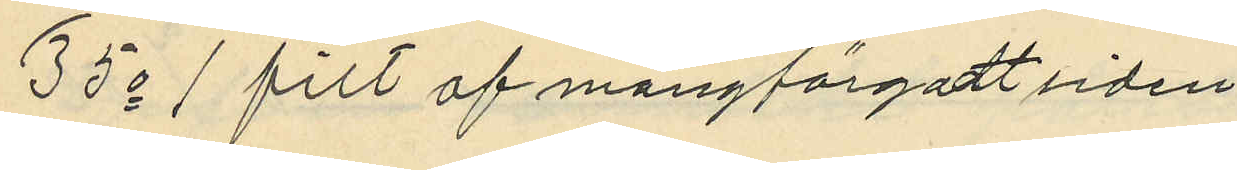35o 1 filt af mångfärgadt siden
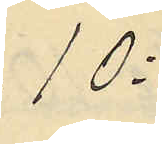10:
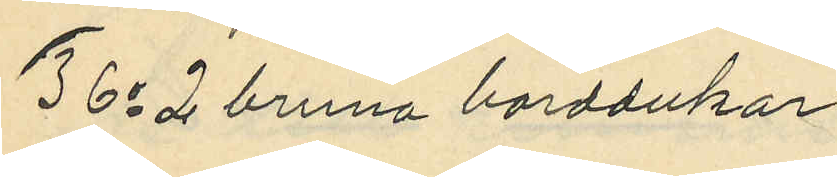36o 2 bruna borddukar
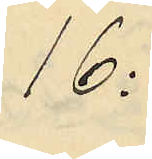16:
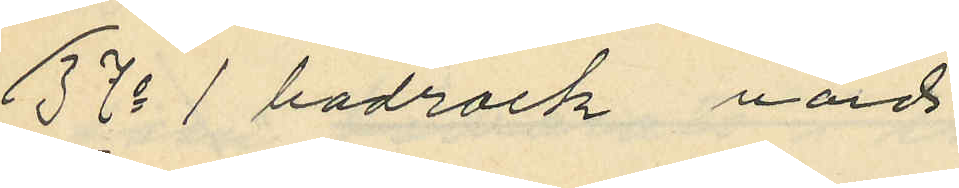37o 1 badrock värd
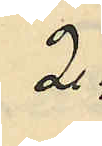2:
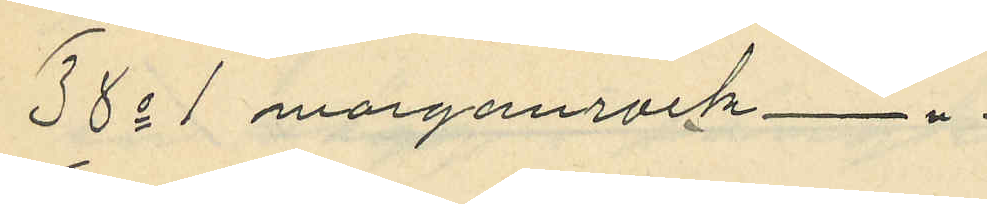38o 1 morgonrock
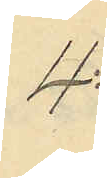4:
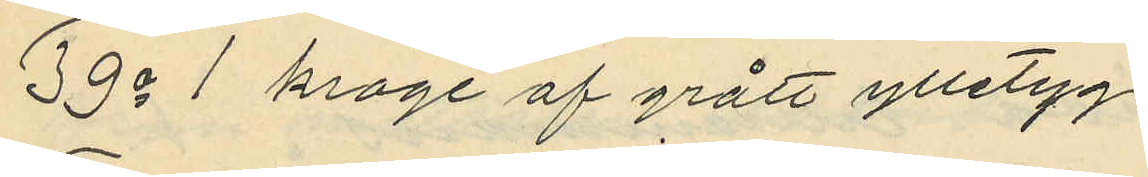39o 1 krage af grått ylletyg
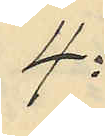4:
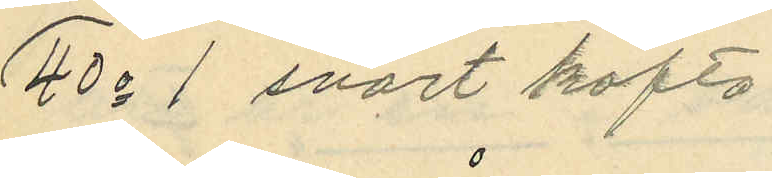40o 1 svart kofta
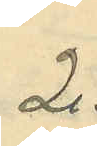2:
